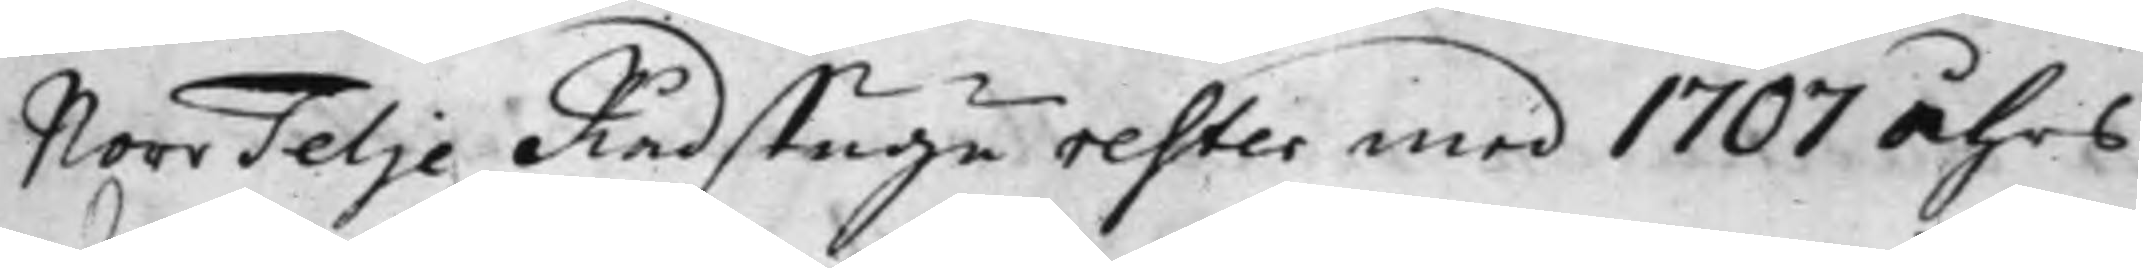NorrTelje Rådstugu rester med 1707 Åhrs
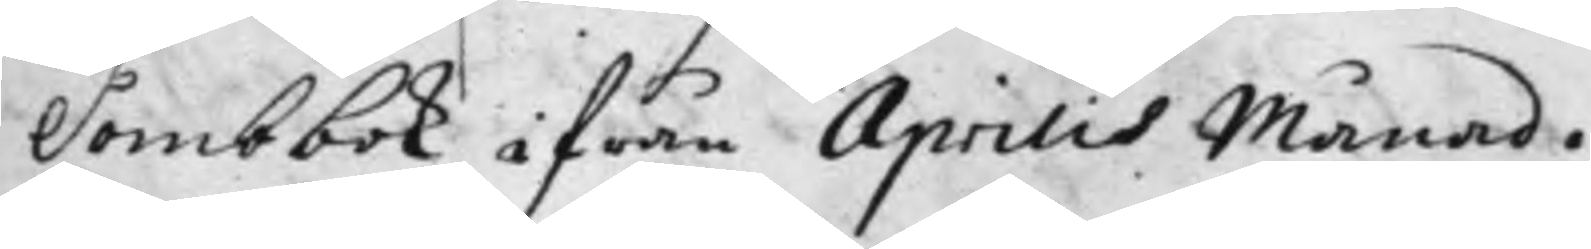Dombbok ifrån Aprilis Månad.
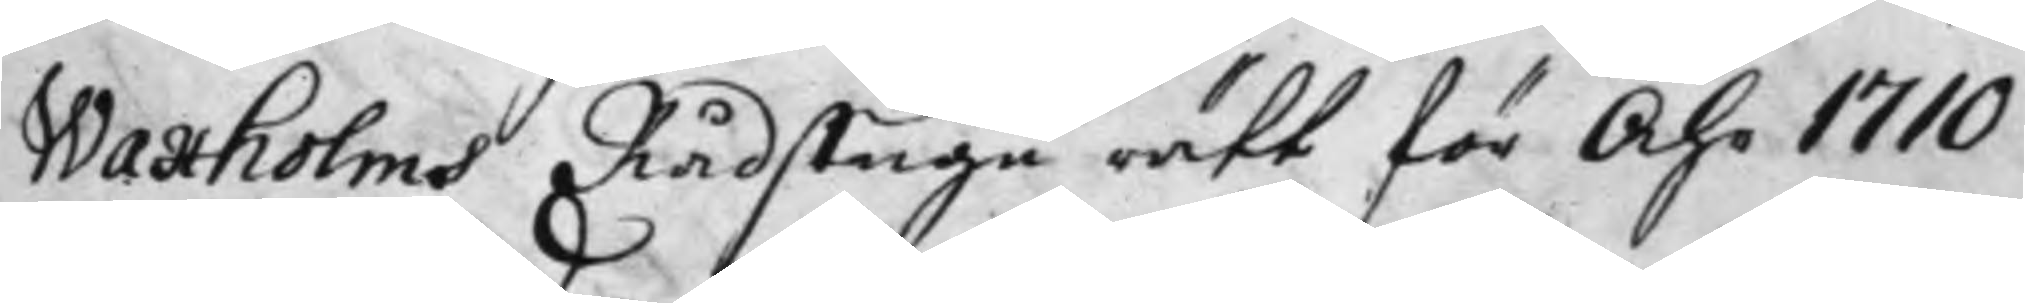Waxholms Rådstugu rätt för Åhr 1710,
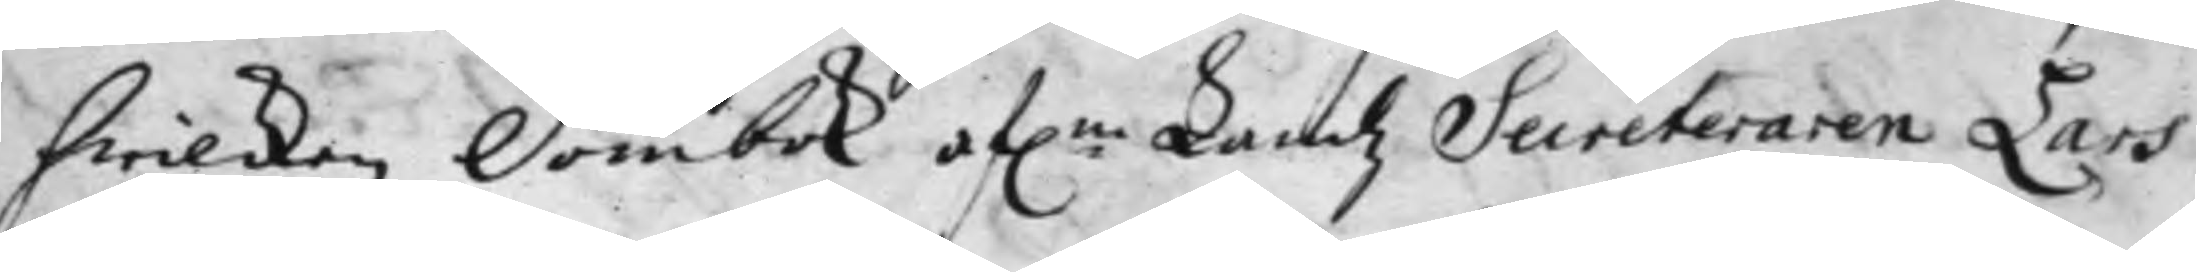hwilcken Dombok af:ne Landz Secreteraren Lars
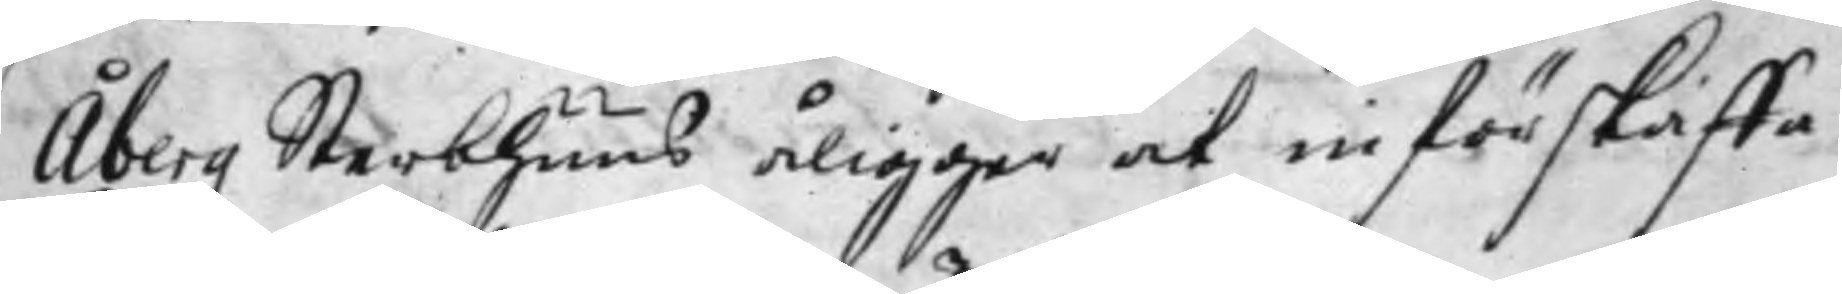Åbergz Sterbhuus åligger at införskaffa.
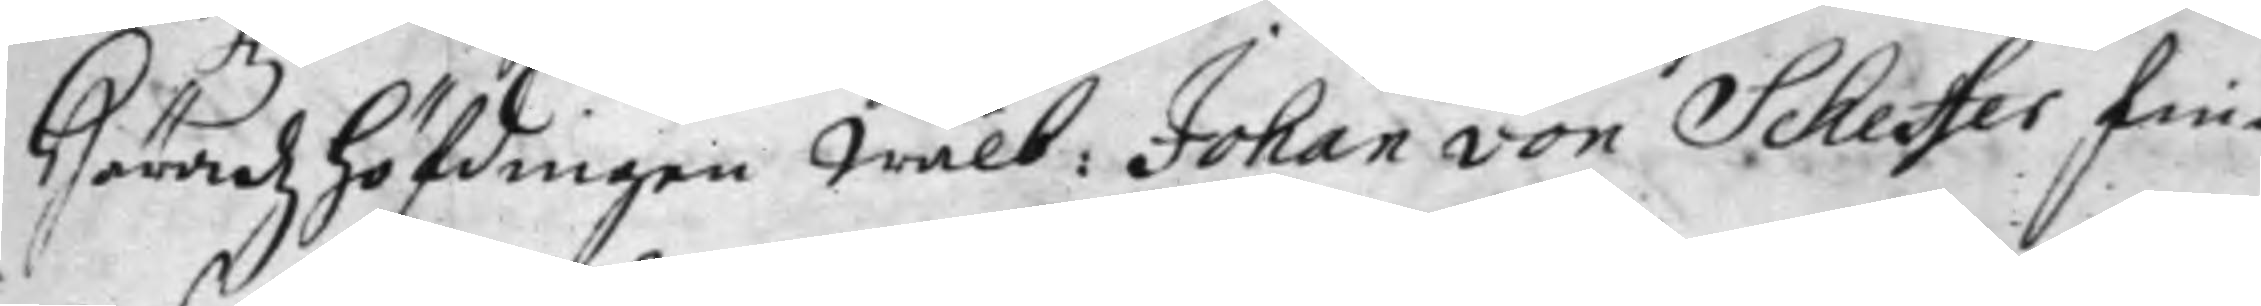Häradz höfdingen Wälb: Johan von Scheffer fin¬
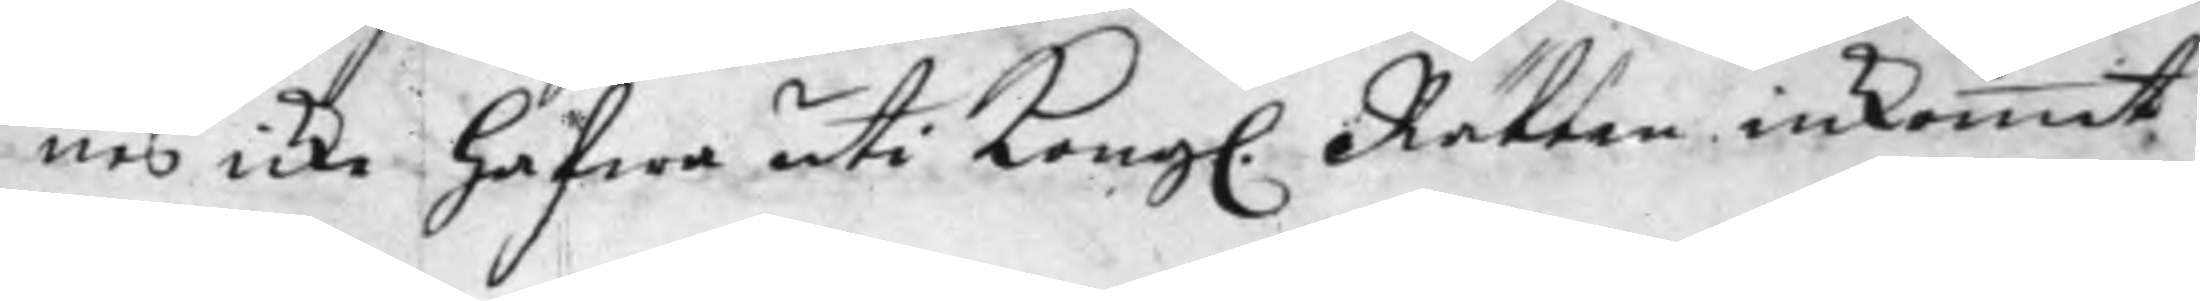nes icke hafwa uti Kong. Rätten inkommit
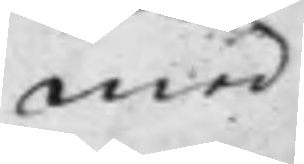med
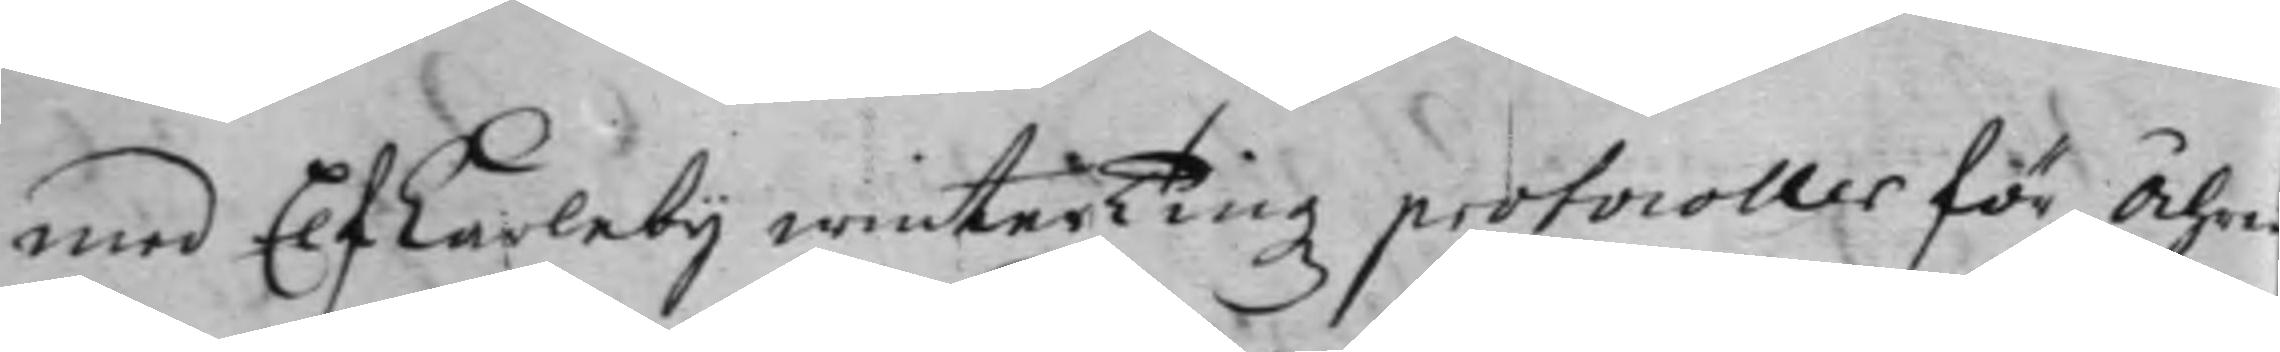med Elfkarleby winterTingz protocoller för Åhre
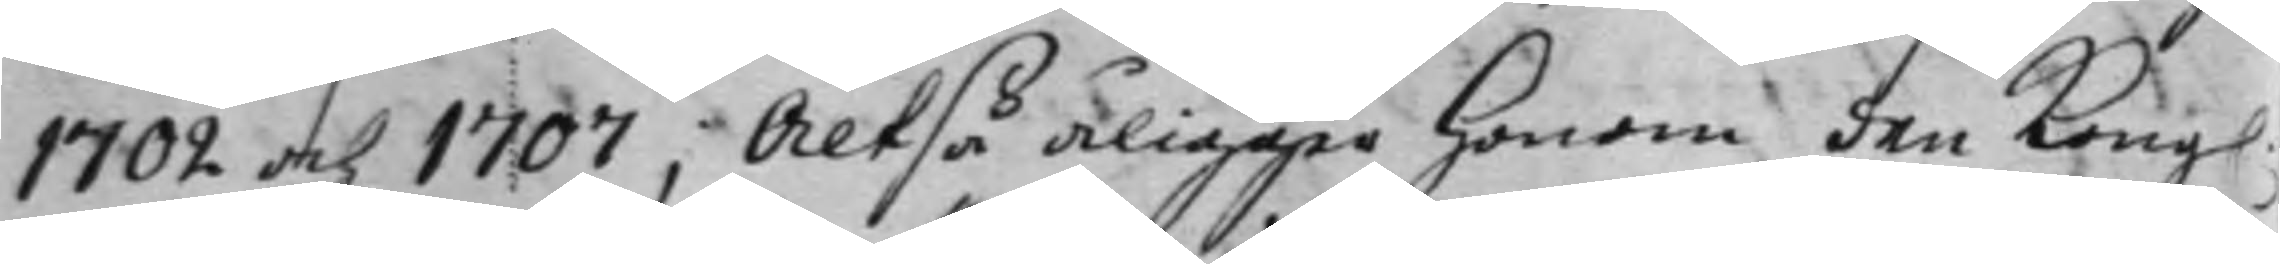1702 och 1707; Altså åligger honom den Kong.
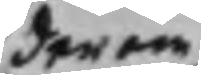derom
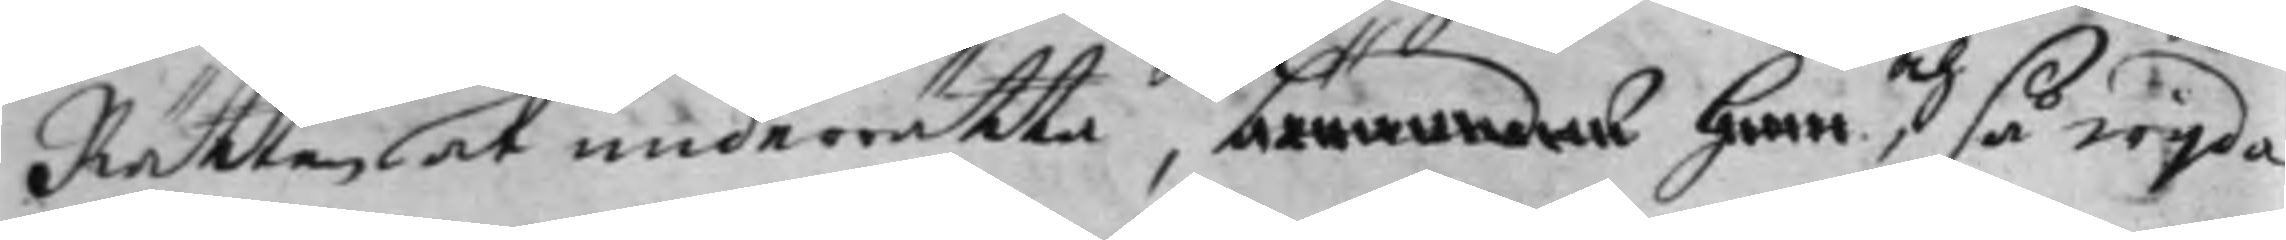Rätten at underrätta, böranndes han, och så wijda
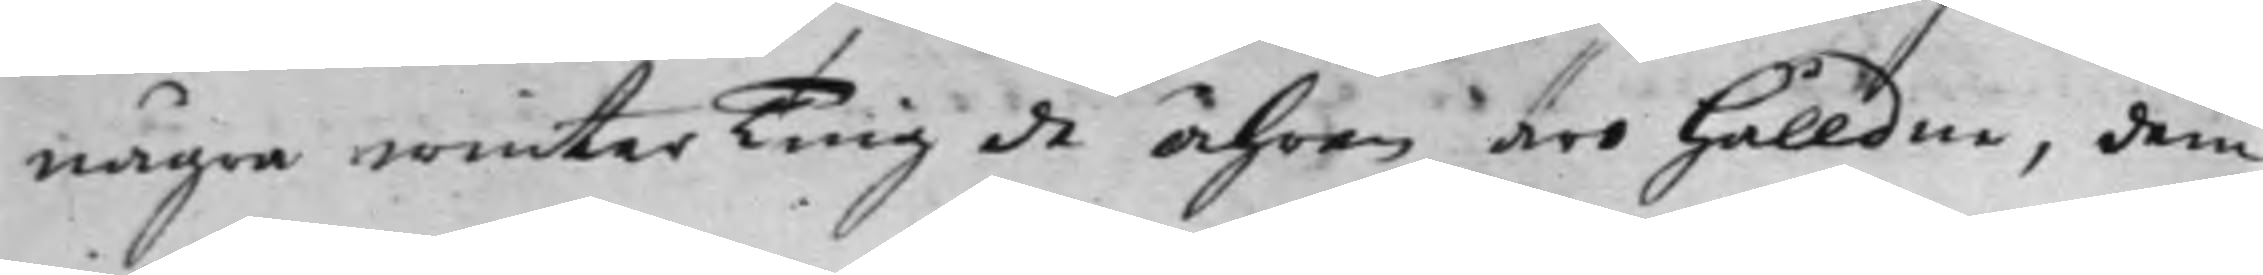några winterTing de Åhren äro hålldne, dem
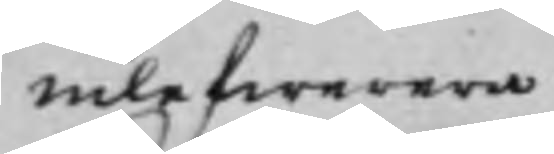inlefwerera.
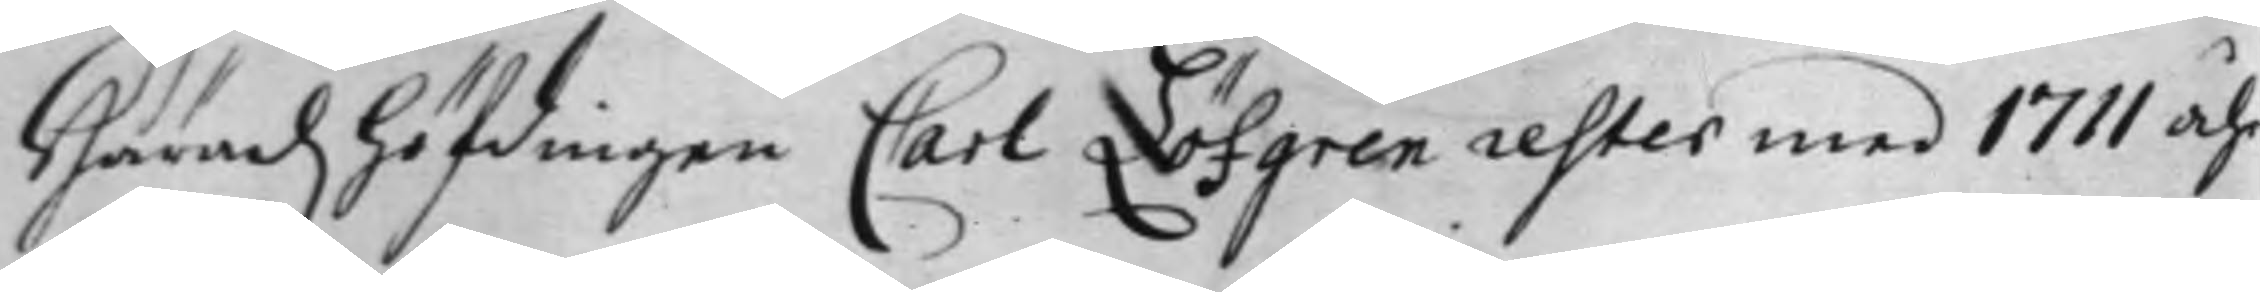Häradzhöfdingen Carl Löfgren rester med 1711 åhr
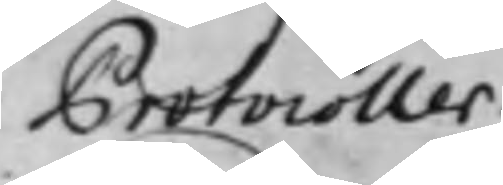Protocoller.
